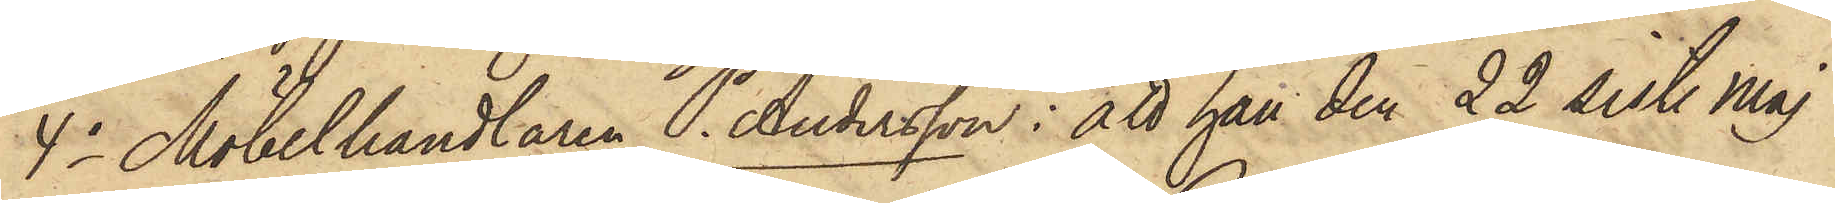4o Möbelhandlaren P. Andersson: att han den 22 sistl. Maj
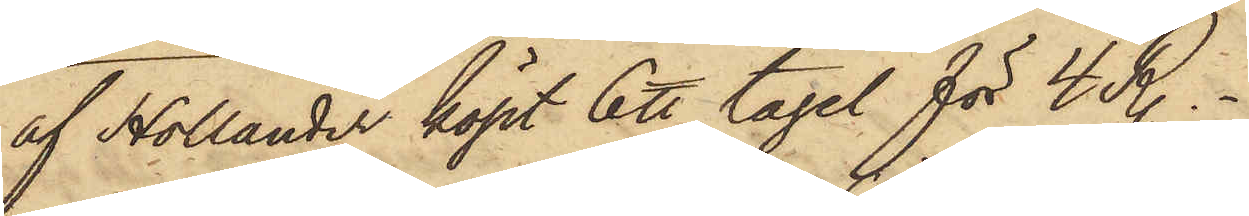af Hollander köpt 6 ℔ tagel för 4 R.
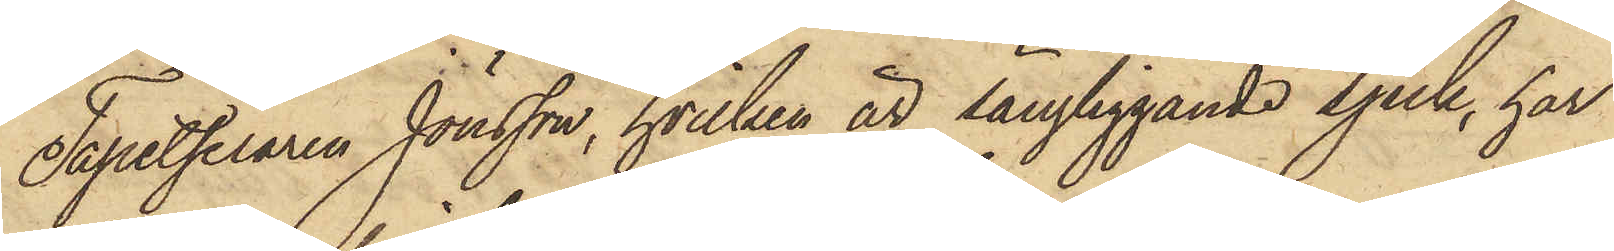Tapetseraren Jönsson, hvilken är sängliggande sjuk, har
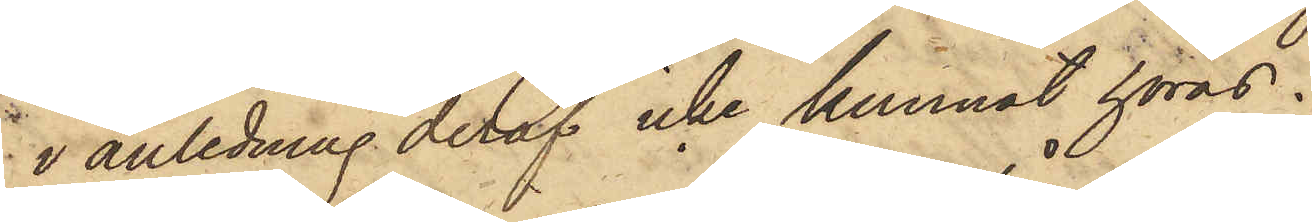i anledning deraf icke kunnat höras.
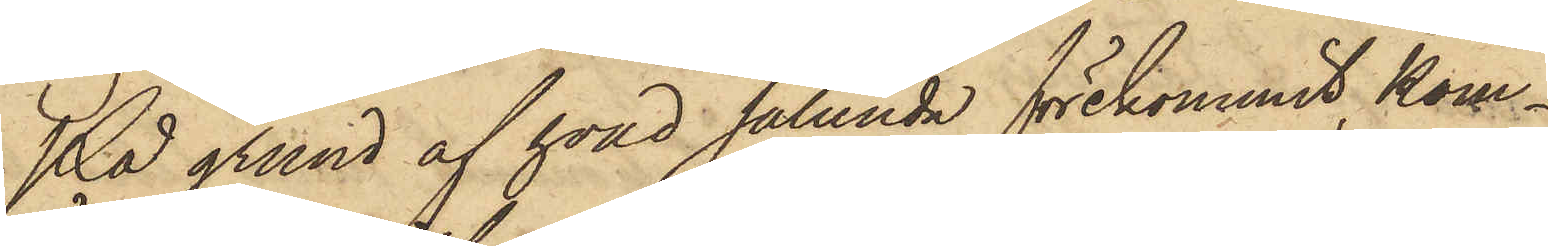På grund af hvad sålunda förekommit, kom¬
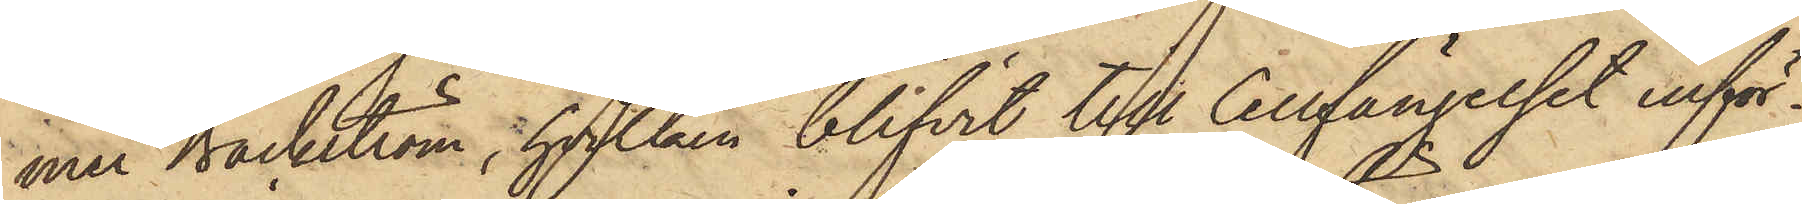mer Bäckström, hvilken blifvit till Cellfängelset inför¬
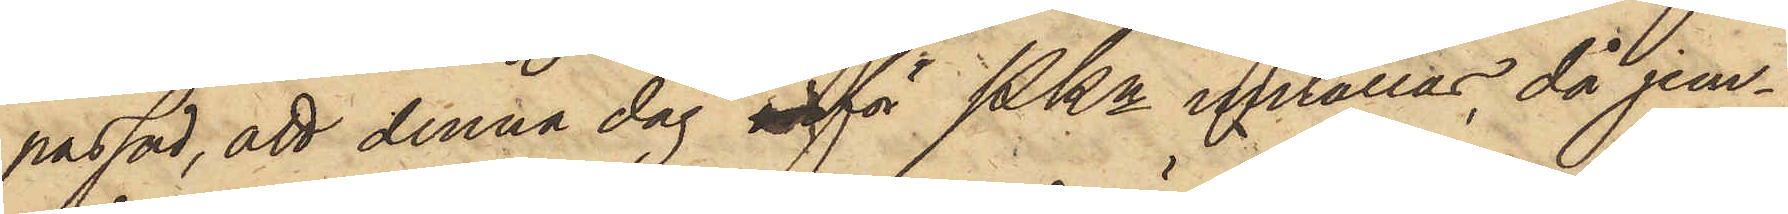passad, att denna dag inför Pkn inrättas, då jem¬
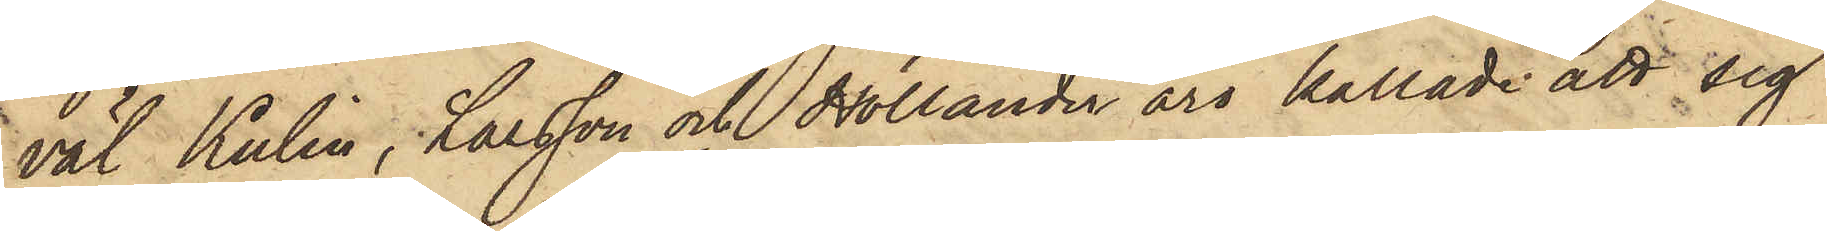väl Kulin, Larsson och Hollander äro kallade att sig
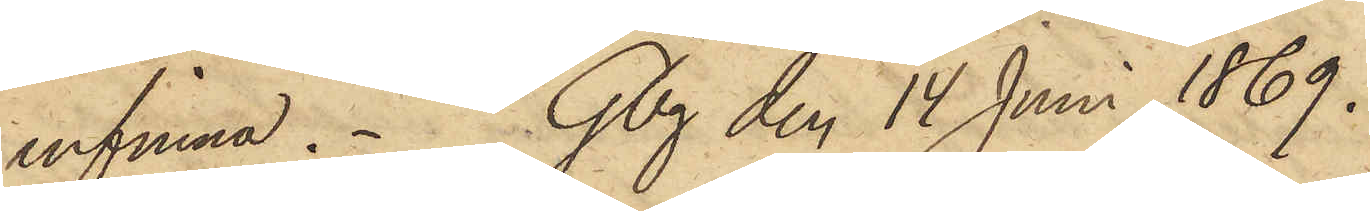infinna. Gbg den 14 Juni 1869.
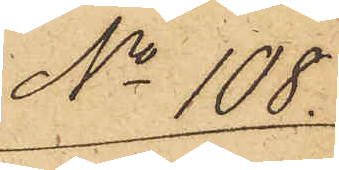No 108.
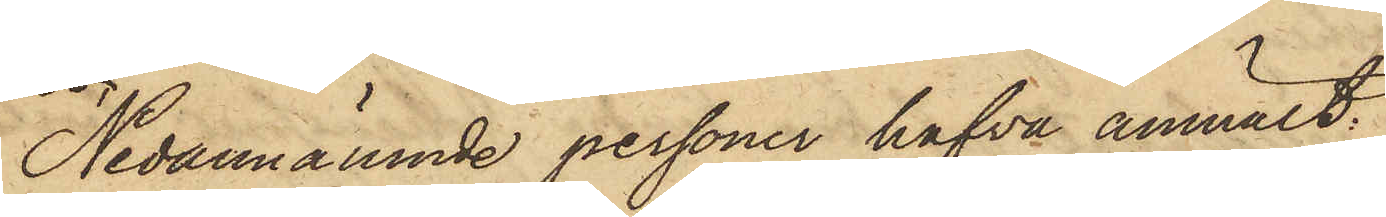Nedannämnde personer hafva anmält:
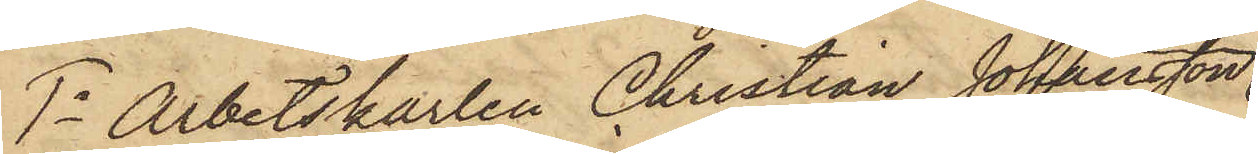1o Arbetskarlen Christian Johansson
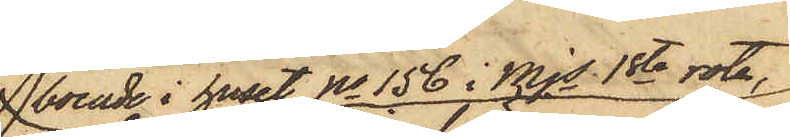boende i huset No 156 i Mjs 1sta rote,:
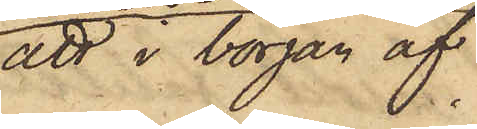att i början af
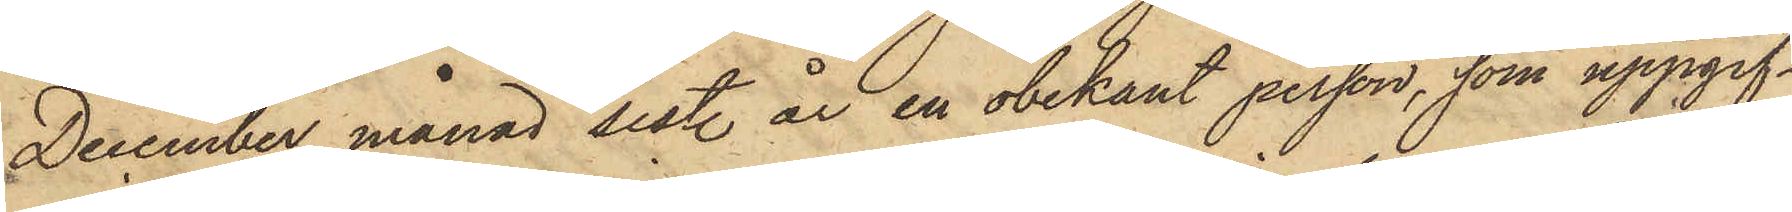December månad sistl. år en obekant person, som uppgif¬
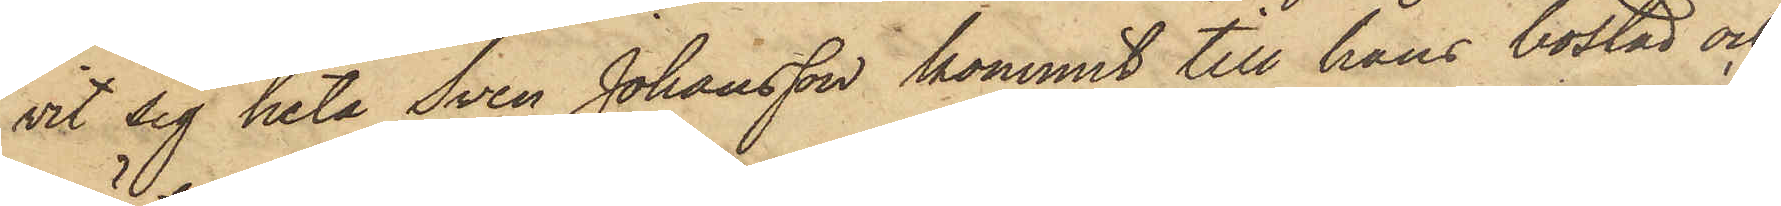vit sig heta Sven Johansson kommit till hans bostad och
